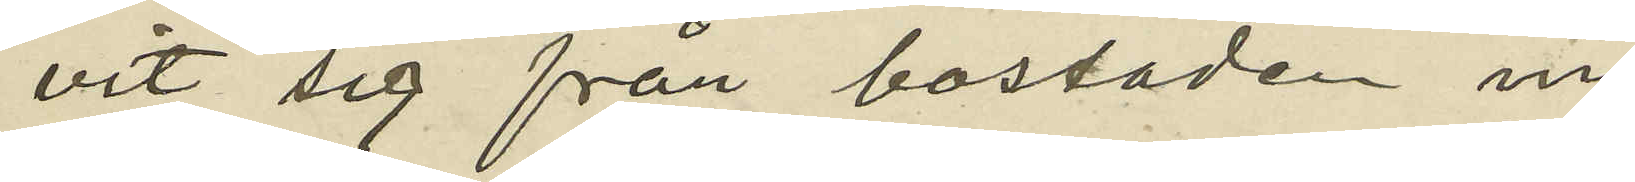vit sig från bostaden in
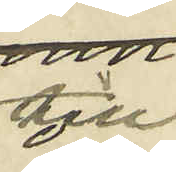till
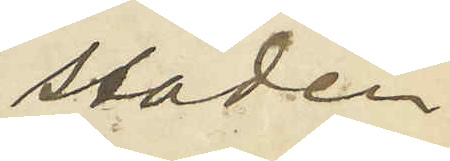staden,
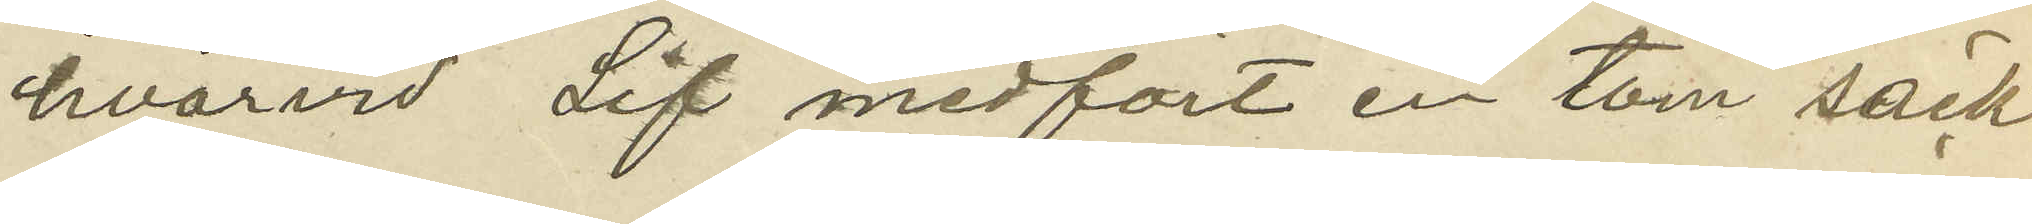hvarvid Lif medfört en tom säck
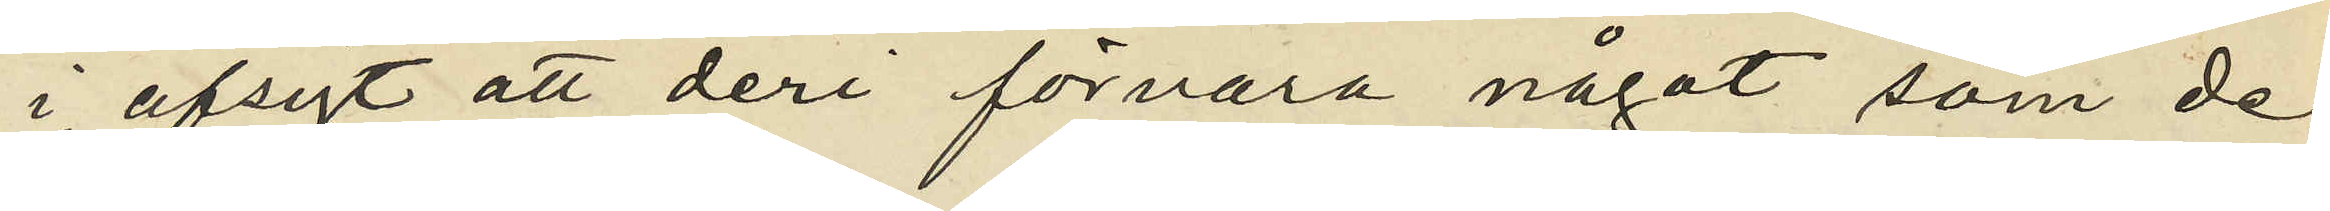i afsigt att deri förvara något som de
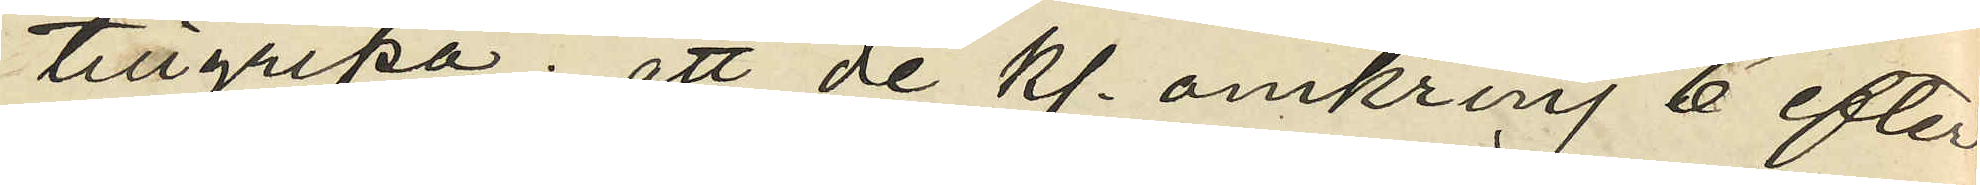tillgripa; att de kl. omkring 6 efter
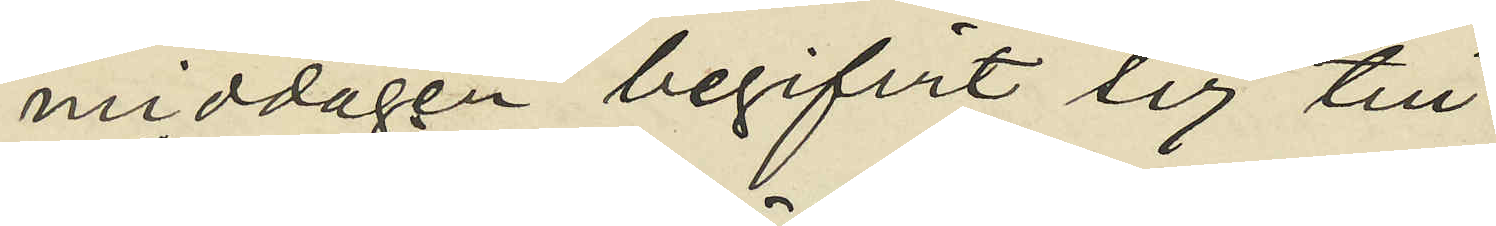middagen begifvit sig till
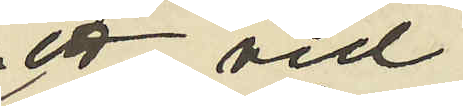ett vid
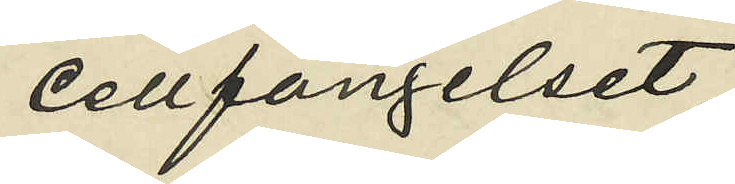cellfängelset
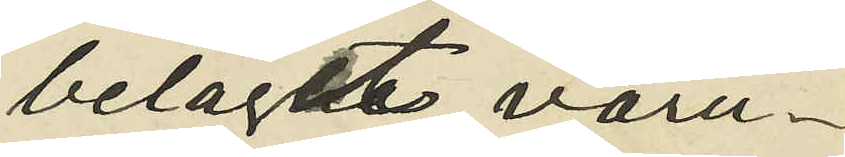beläget varu¬
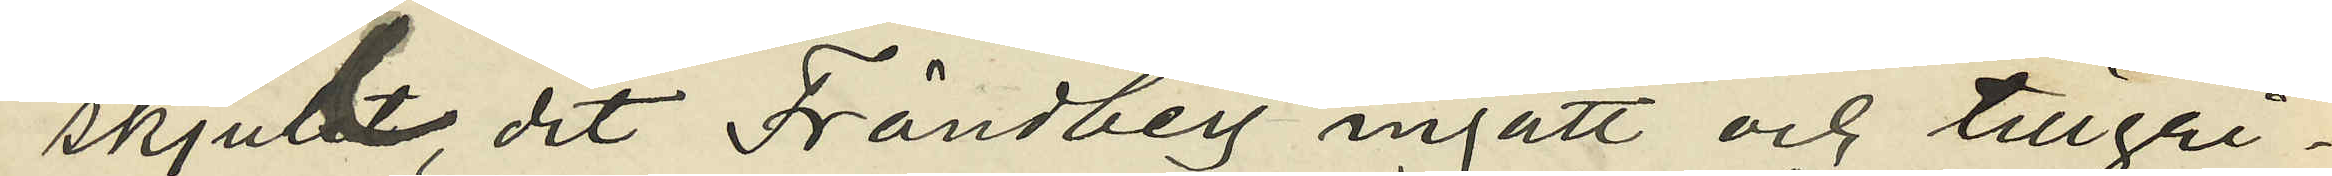skjul, dit Frändberg ingått och tillgri¬
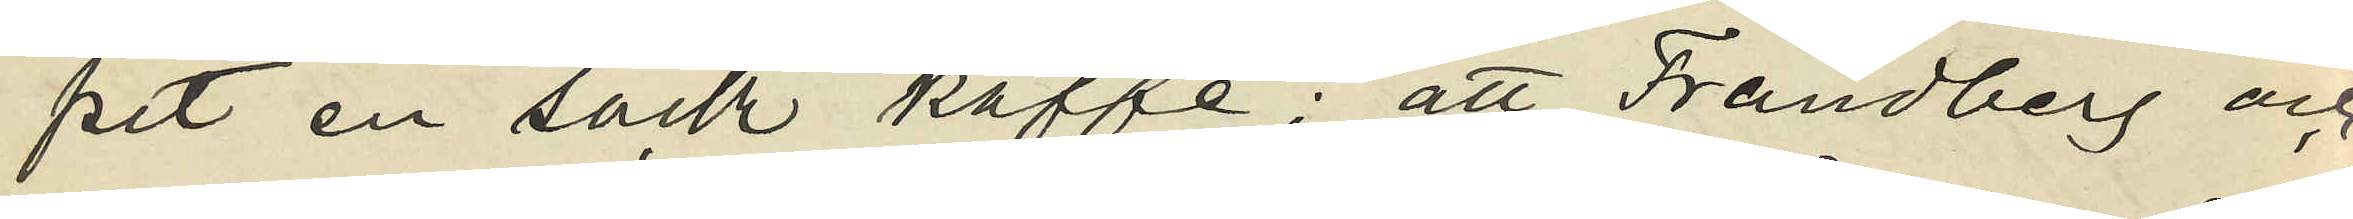pit en säck kaffe; att Frändberg och
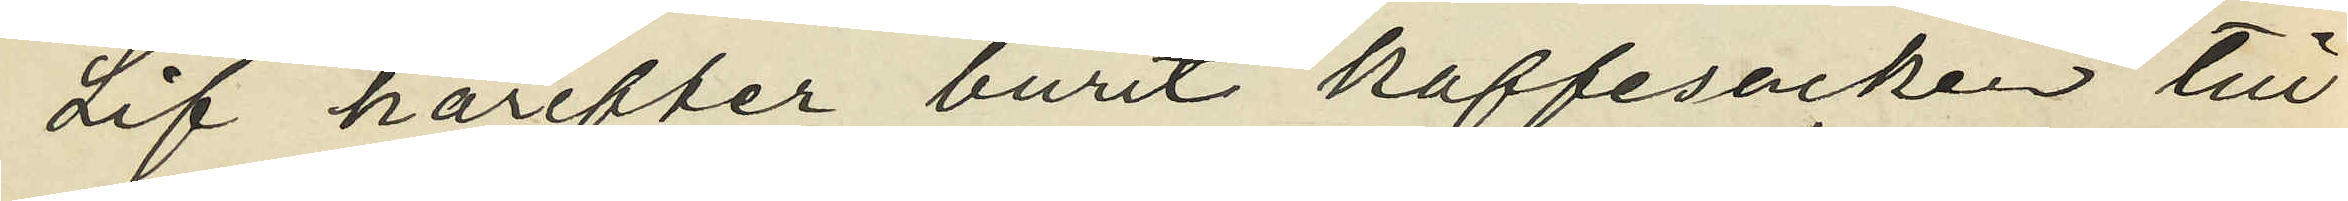Lif härefter burit kaffesäcken till
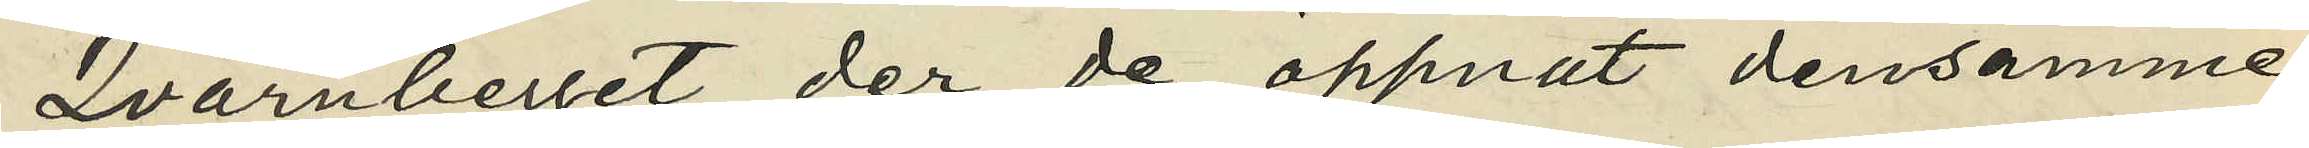Qvarnberget, der de öppnat densamme
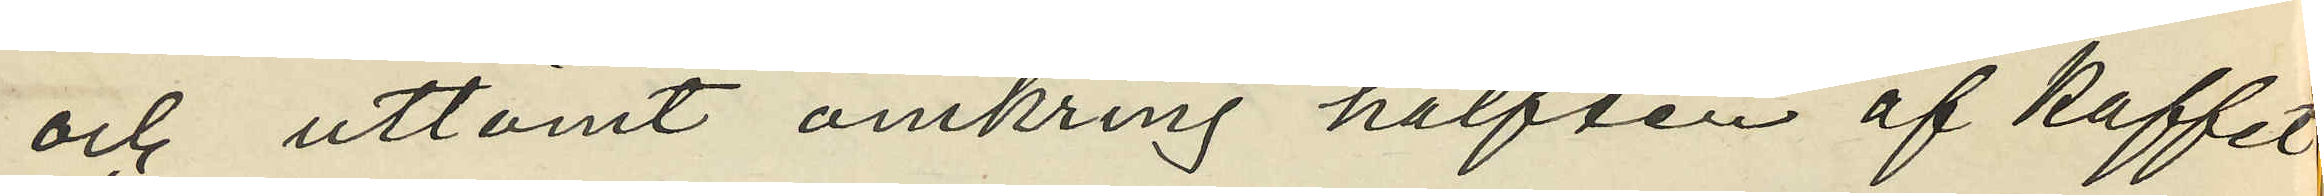och uttömt omkring hälften af kaffet
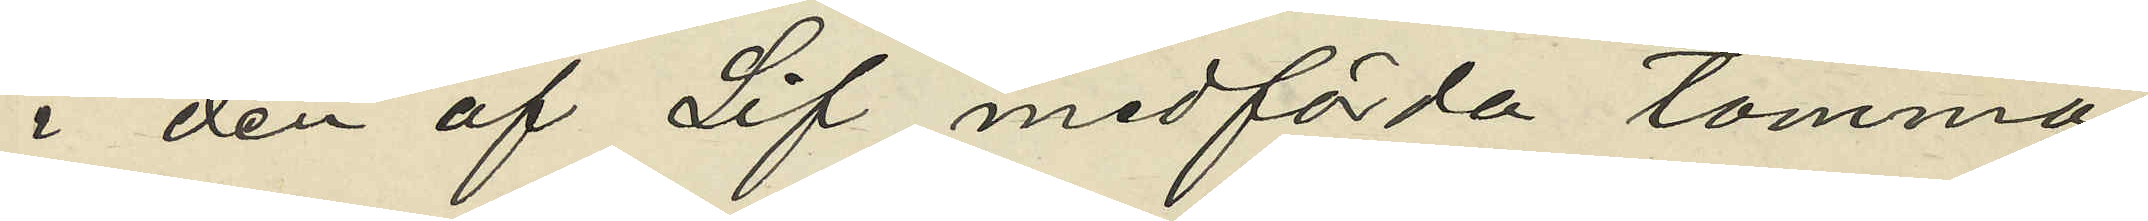i den af Lif medförda tomma
